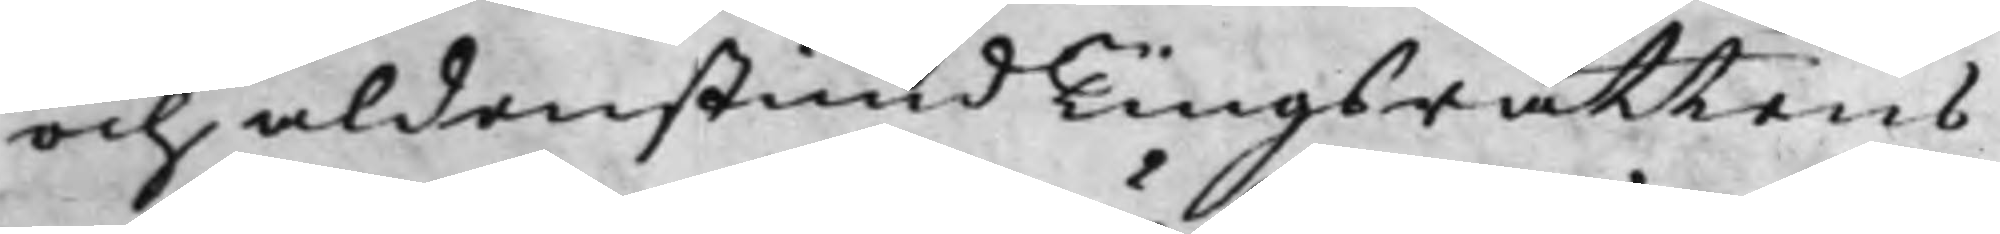och aldenstund Tingsrättens
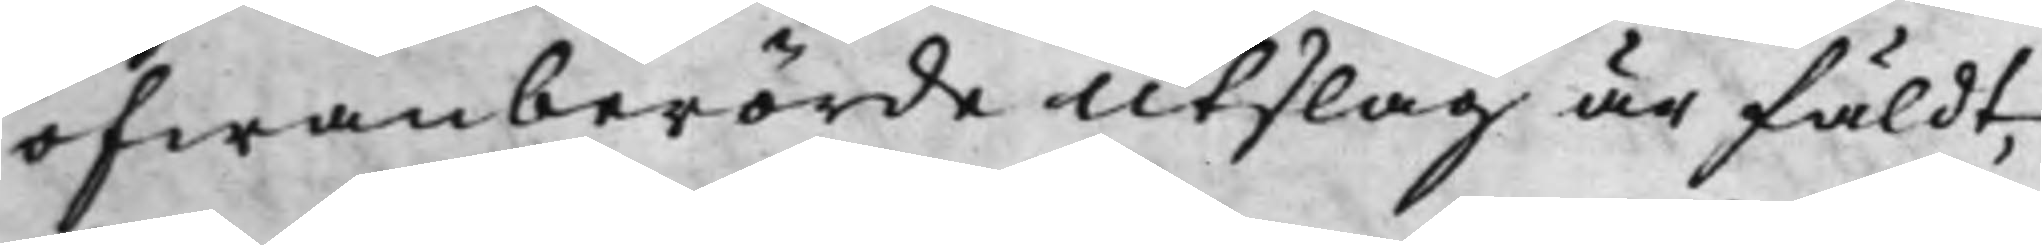ofwanberörde Utslag är fäldt,
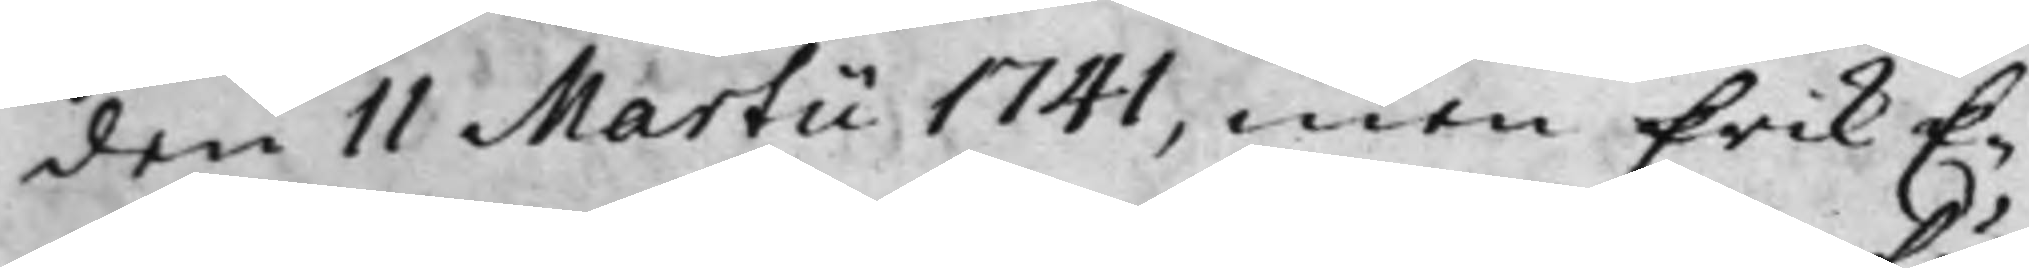den 11 Martii 1741, men Erik E¬
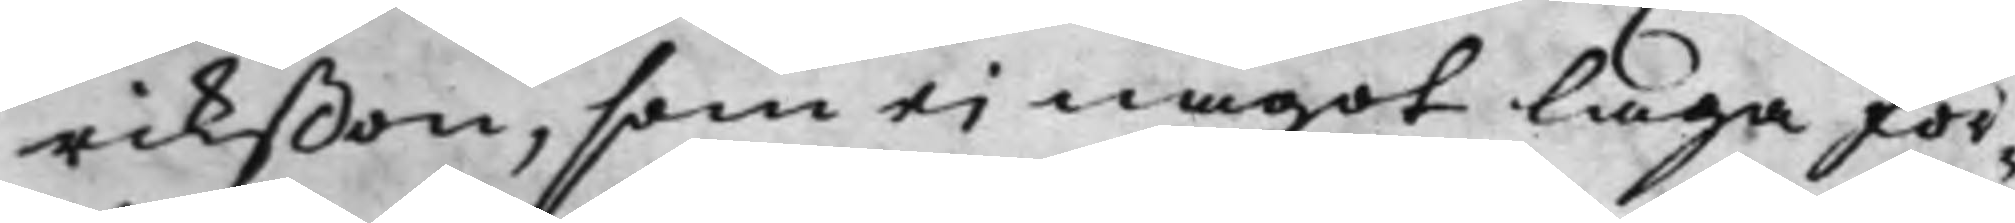rikßon, som ei något laga för¬
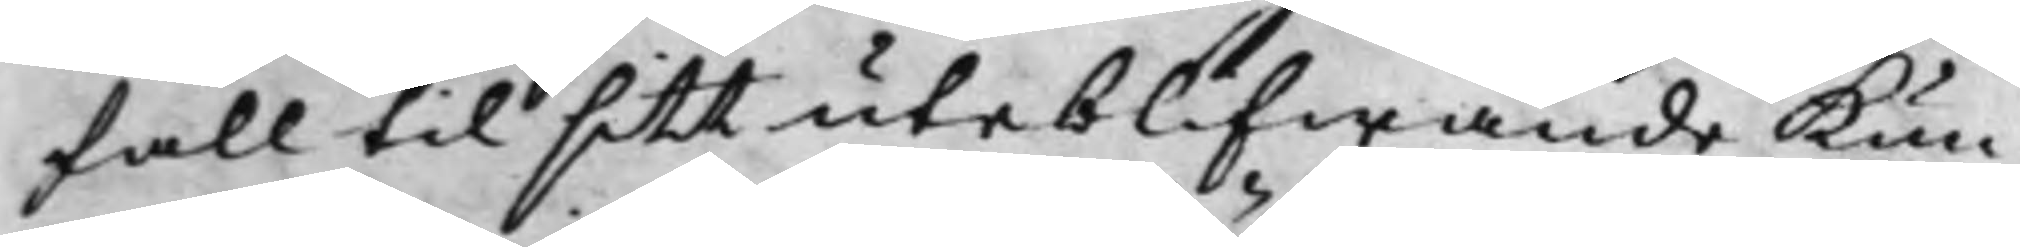fall til sitt uteblifwande Kun¬
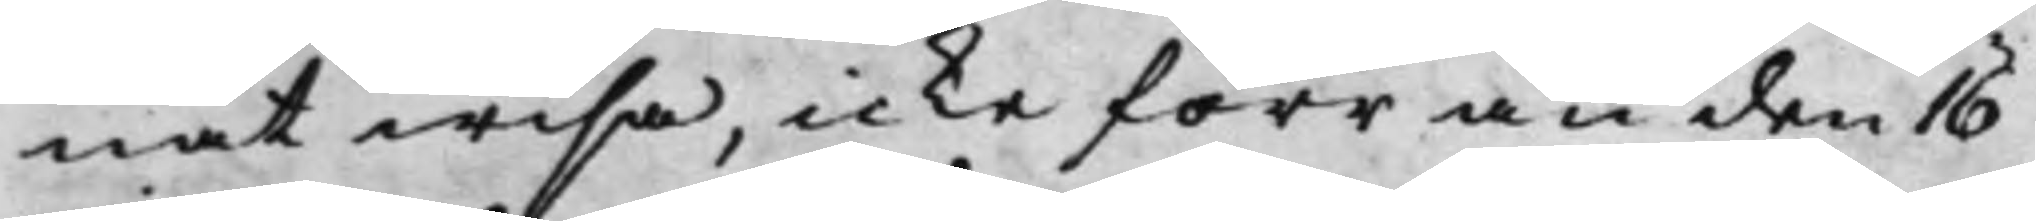nat wisa, icke förr än den 16
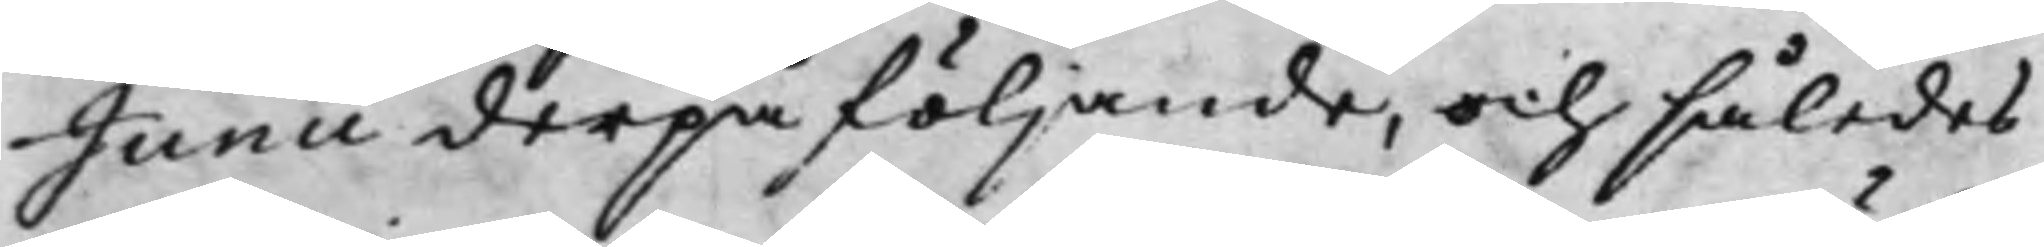Junii derpå följande, och således
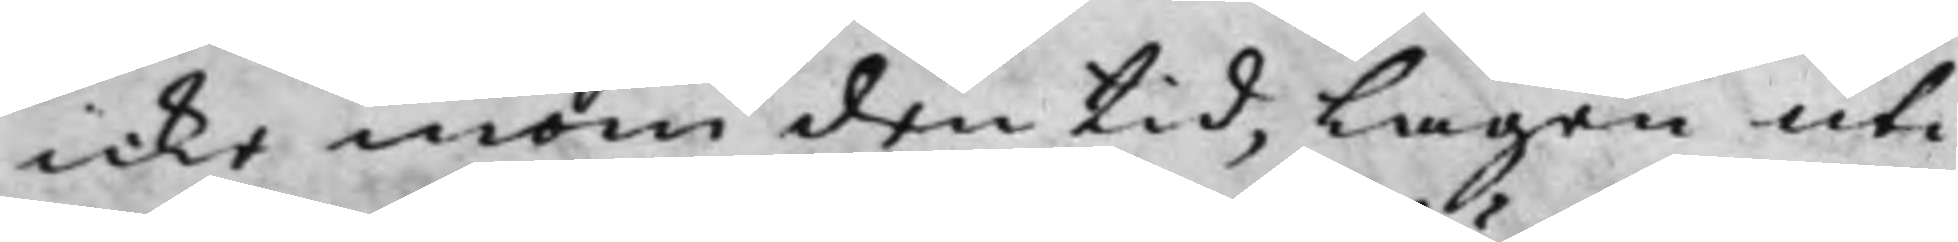icke inom den tid, Lagen uti
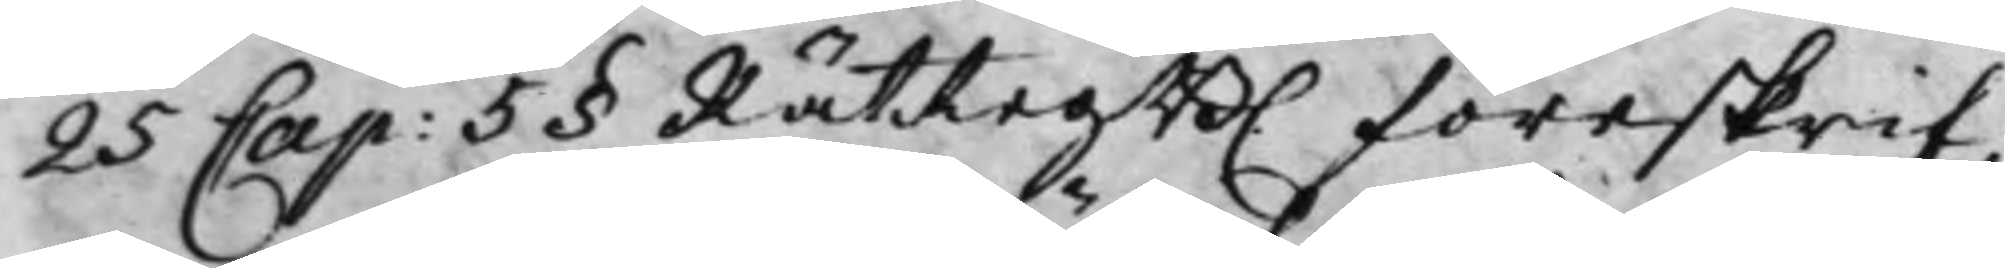25 Cap: 5§ RättegB. föreskrif¬ 
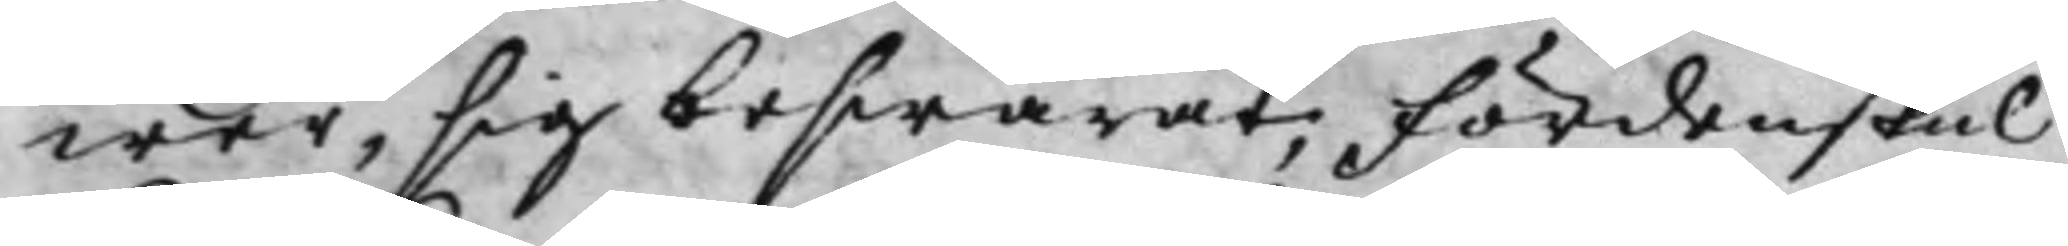wer, sig beswärat; Fördenskul
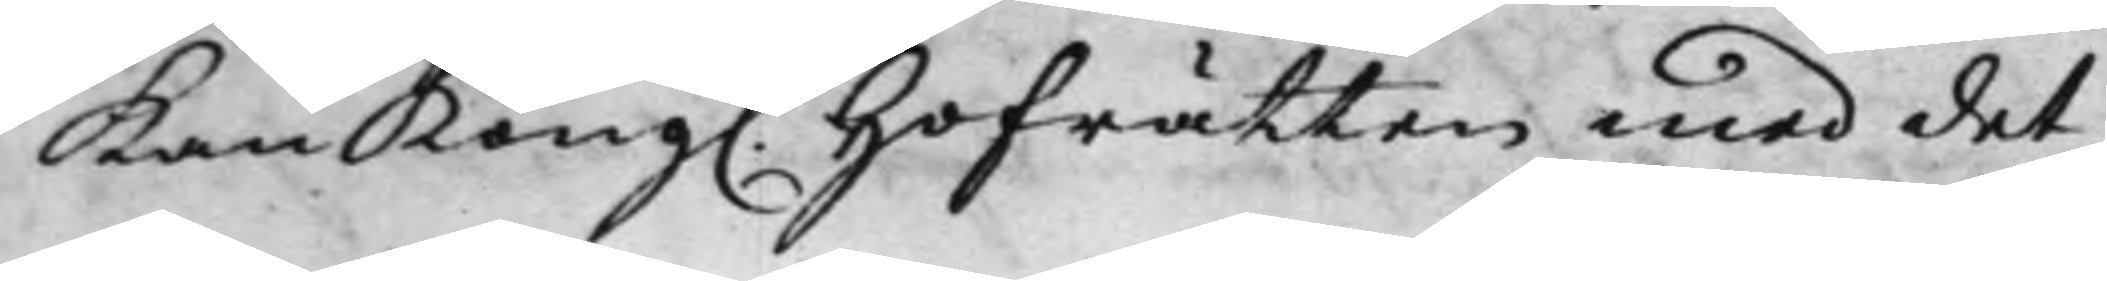Kan Kong. Hofrätten med det¬ 
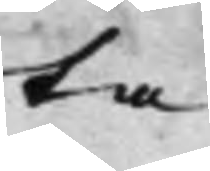ta
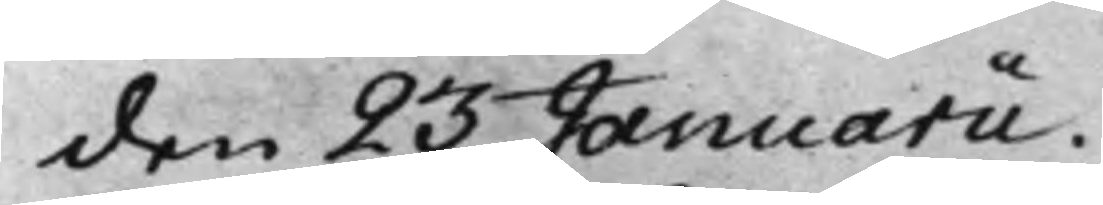den 23 Januarii.
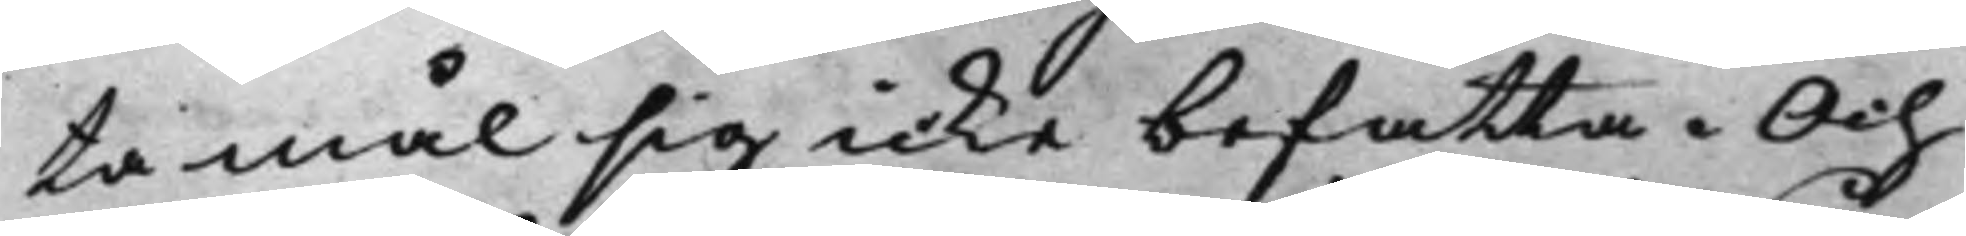ta mål sig icke befatta. Och
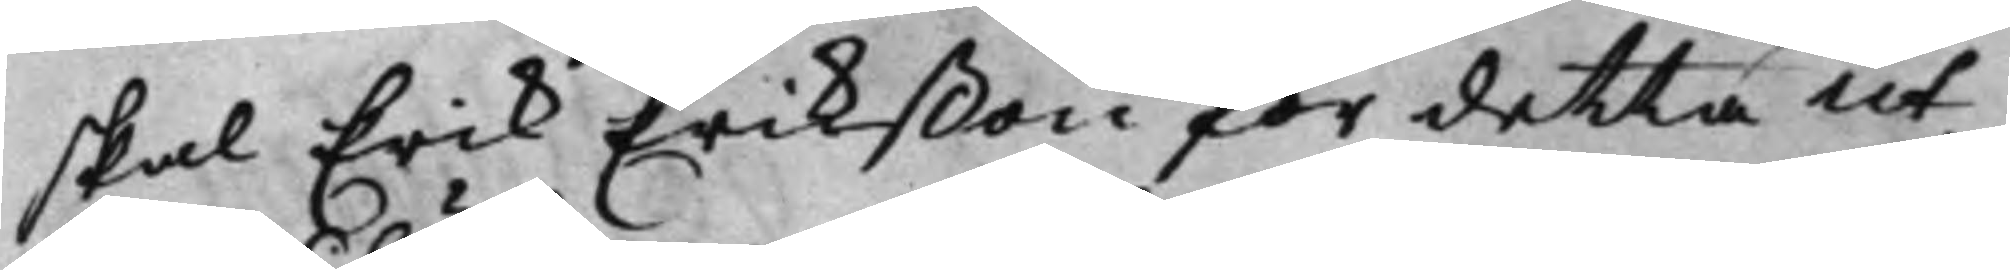skal Erik Erikßon för detta ut¬
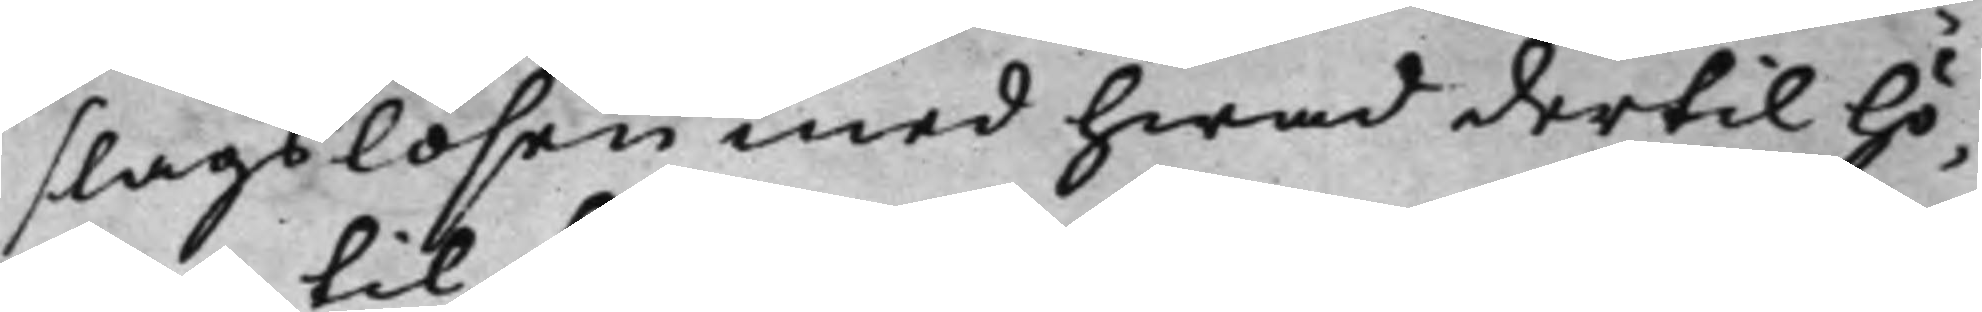slags lösen med hwad dertil hö¬
